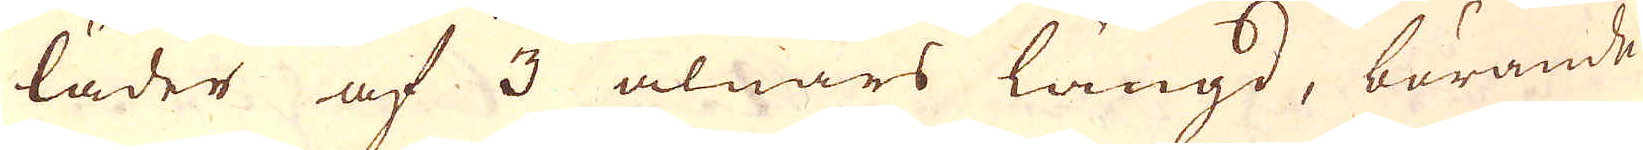läder af 3 alnars längd, börande
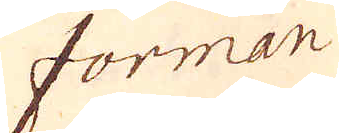forman
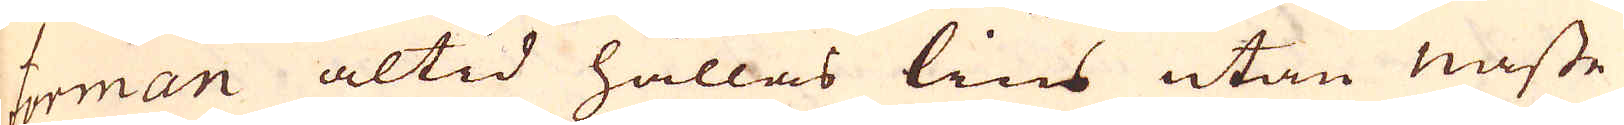forman altid hållas lius utan naste
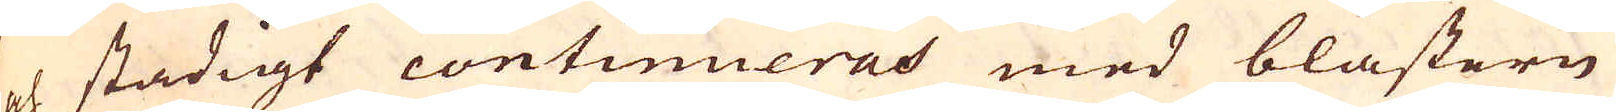och stadigt continueras med blästern
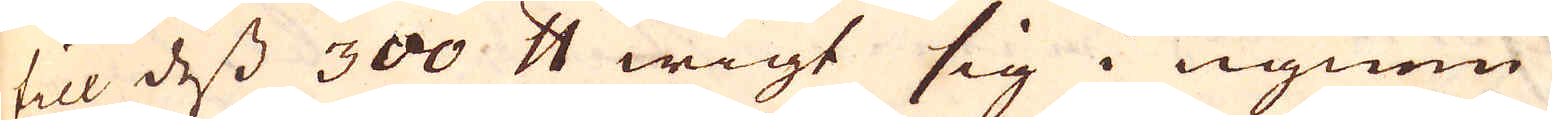till dess 300 skålpund wigt sig i ugnen
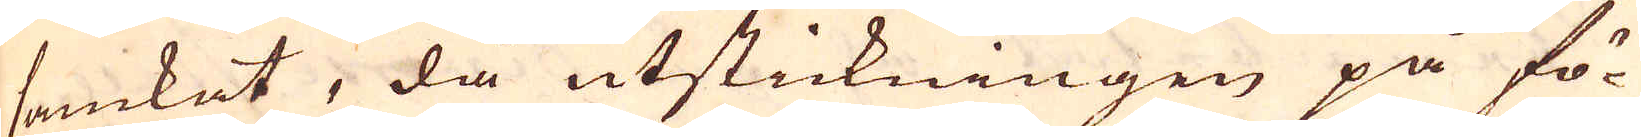samkat, då utstickningen på fö-
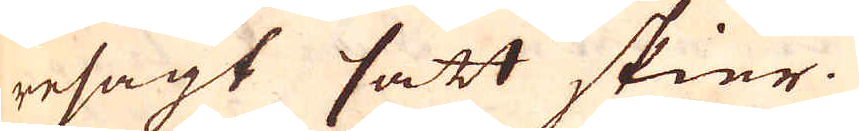resagt sätt skier.
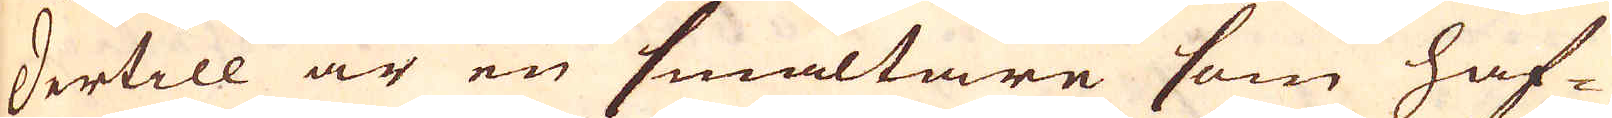Dertill är en smältare som haf-
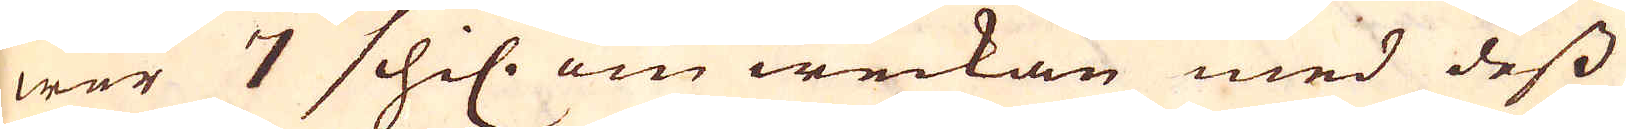wer 7 schil: om weckan med dess
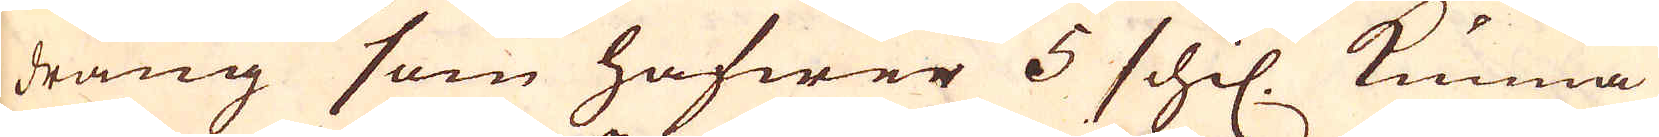dräng som hafwer 5 schil. kunna
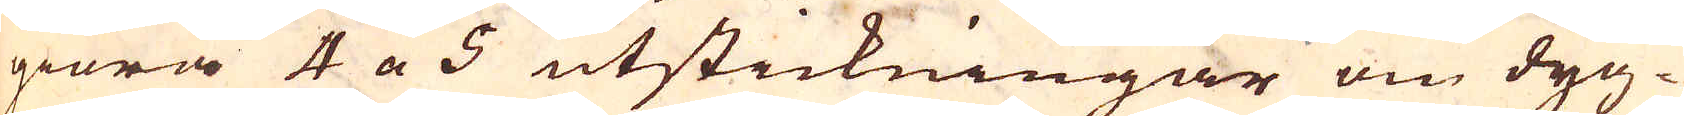giöra 4 a 5 utstickningar om dyg-
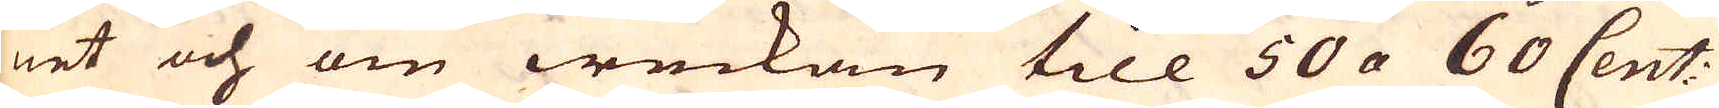net och om weckan till 50 a 60 Cent:
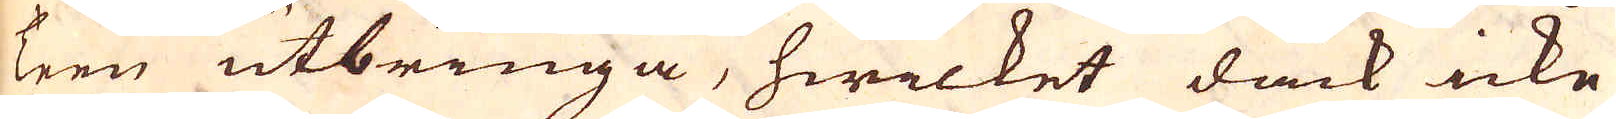Teen utbringa, hwilket dåck icke
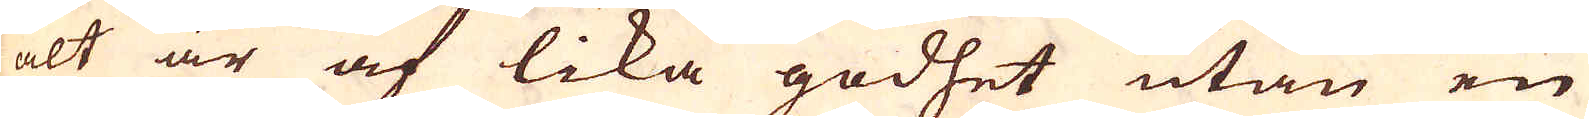alt är af lika godhet utan en
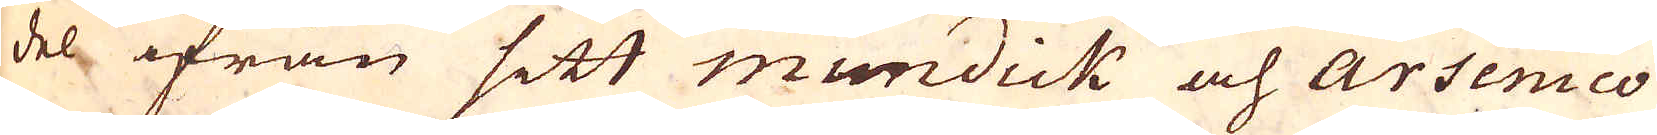del ifrån sitt mundick och arsenico
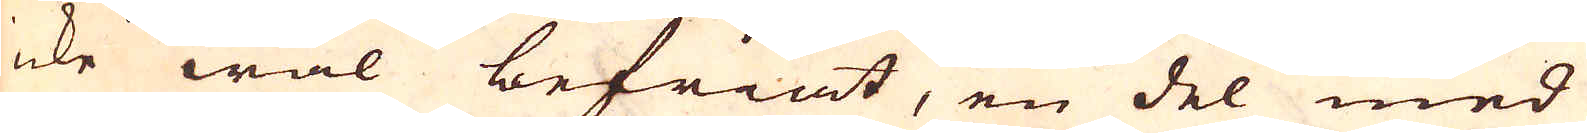icke wäl befriat, en del med
